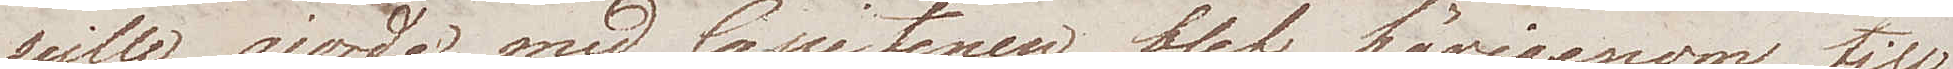seille gjorde med Capitenen blef härigenom till
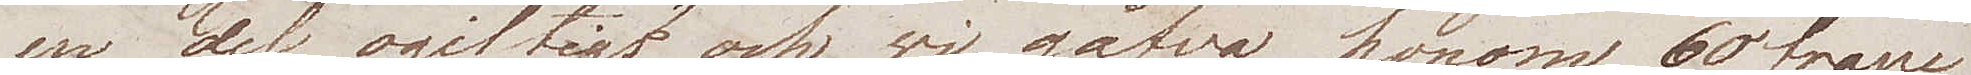en del ogiltigt och wi gåfvo honom 60 franc
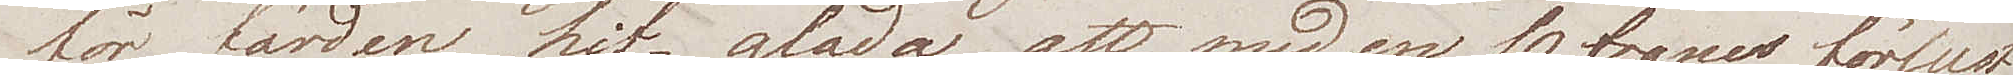för färden hit – glada att med en 10 francs förlust
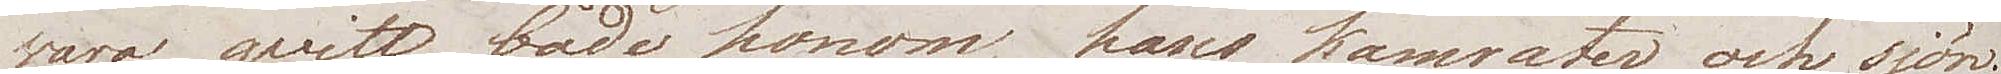wara qvitt både honom, hans kamrater och sjön.
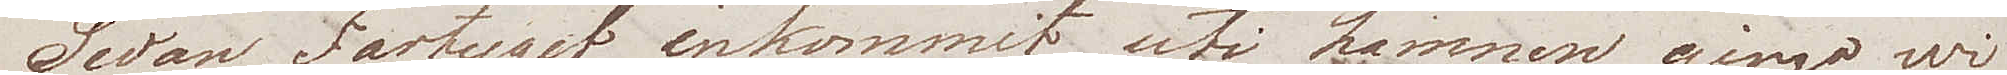Sedan Fartyget inkommit uti hamnen gingo wi
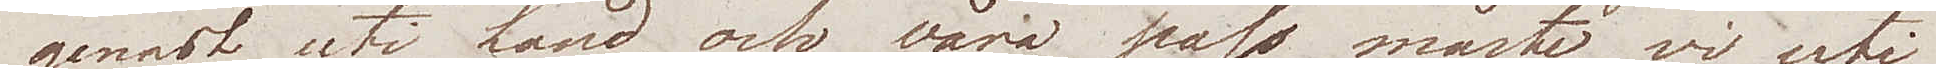genast uti Land, och våra pass måste vi uti
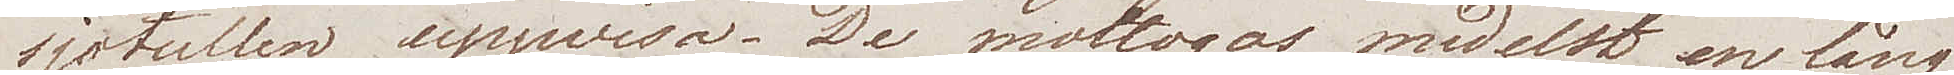sjötullen uppwisa. De mottogos medelst en lång
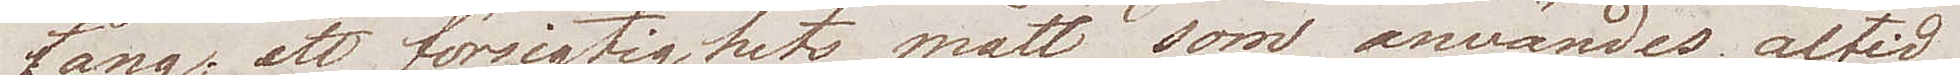tång, ett försigtighetsmått som användes altid
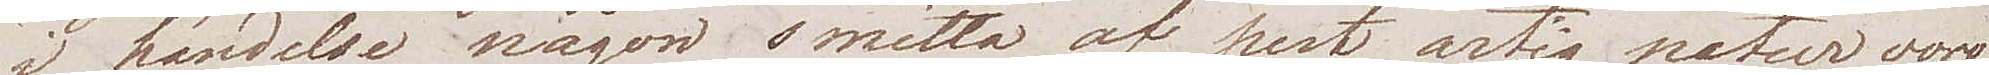i händelse någon smitta af pest artig natur vore
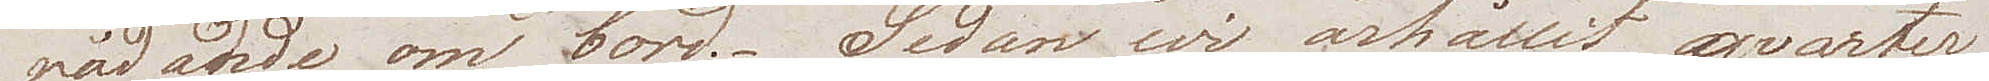närvarande om bord. Sedan wi ärhållit qvarter
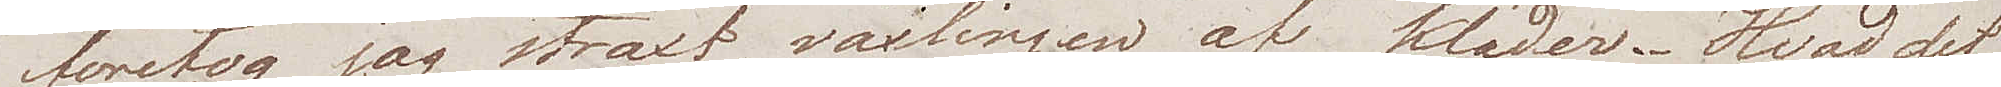företog jag straxt växlingen af kläder. Hvad det
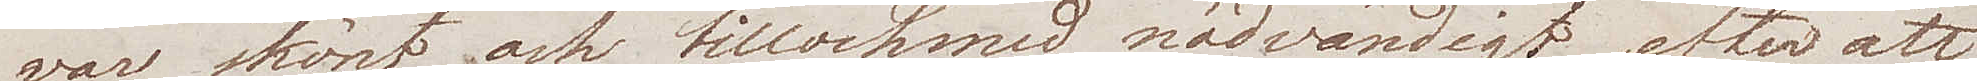var skönt och tillochmed nödvändigt, efter att
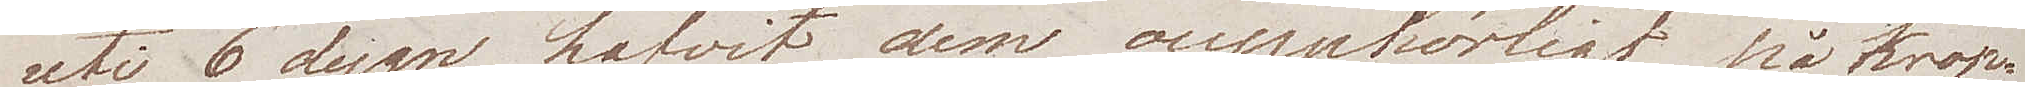uti 6 dygn hafvit dem oupphörligt på krop¬
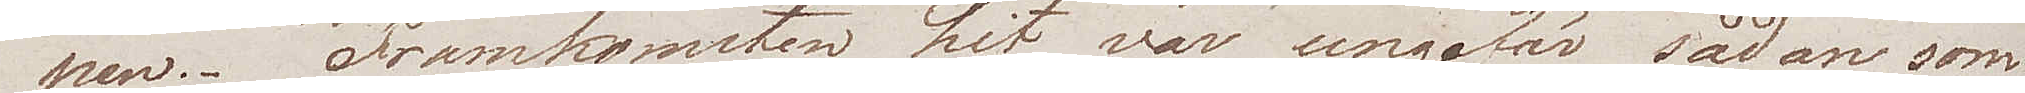pen. Framkomsten hit var ungefär sådan som
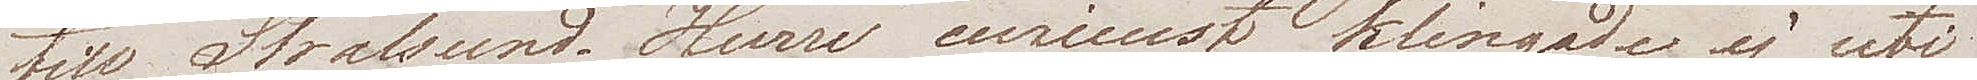till Stralsund. Huru curieust klingade ej uti
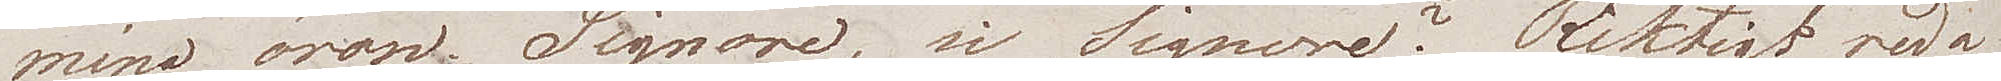mina öron Signore, si Signore? Riktigt reda
